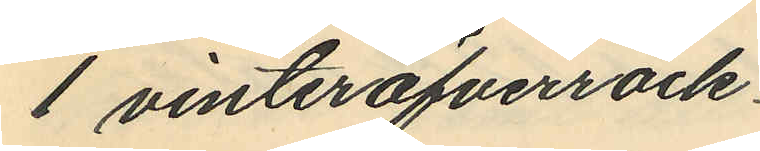1 vinteröfverrock
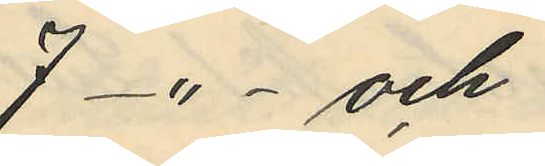7 -"-  och
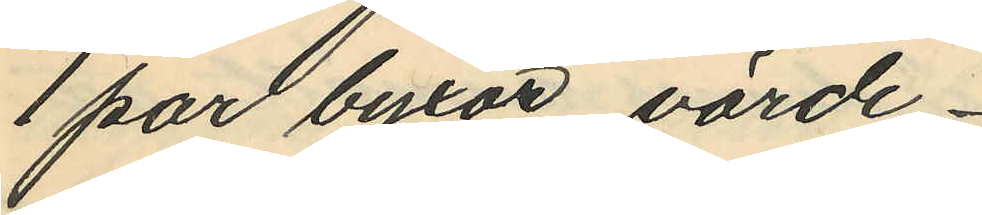1 par byxor, värde
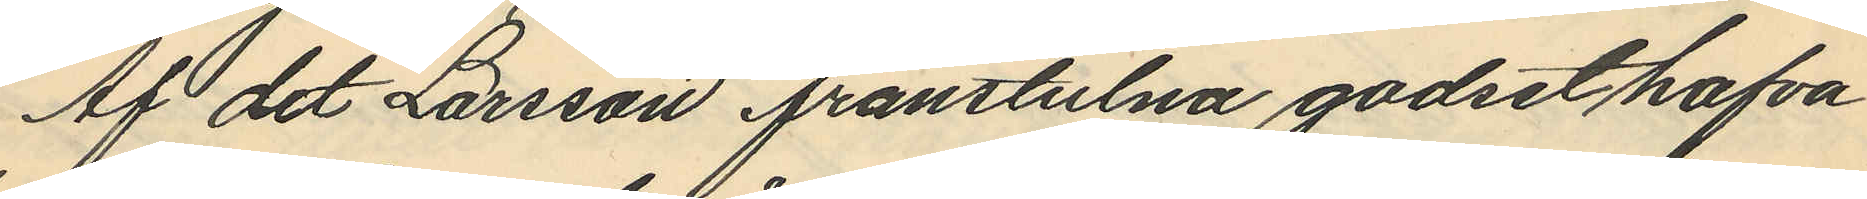Af det Larsson frånstulna godset hafva
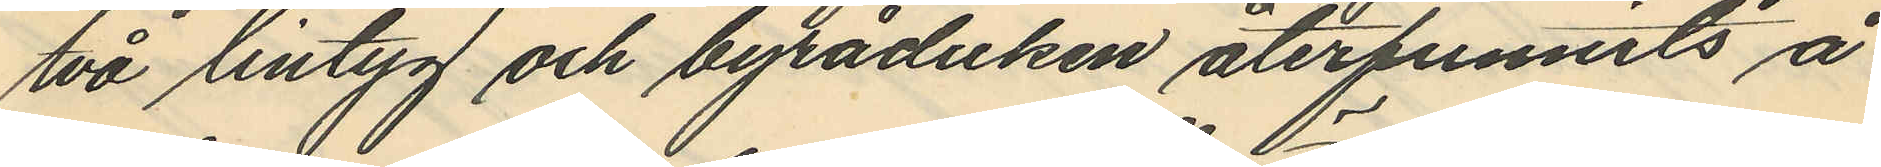två lintyg och byråduken återfunnits å
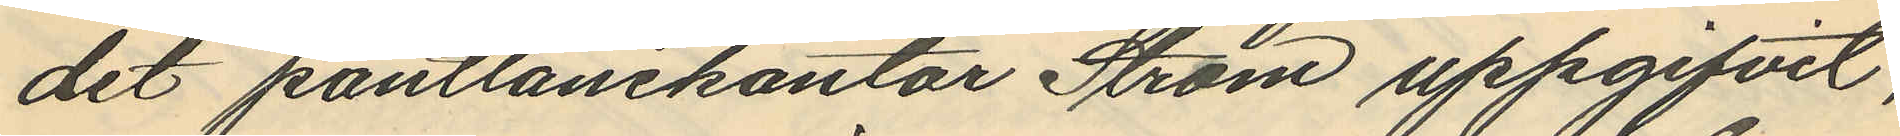det pantlånekontor Ström uppgifvit,
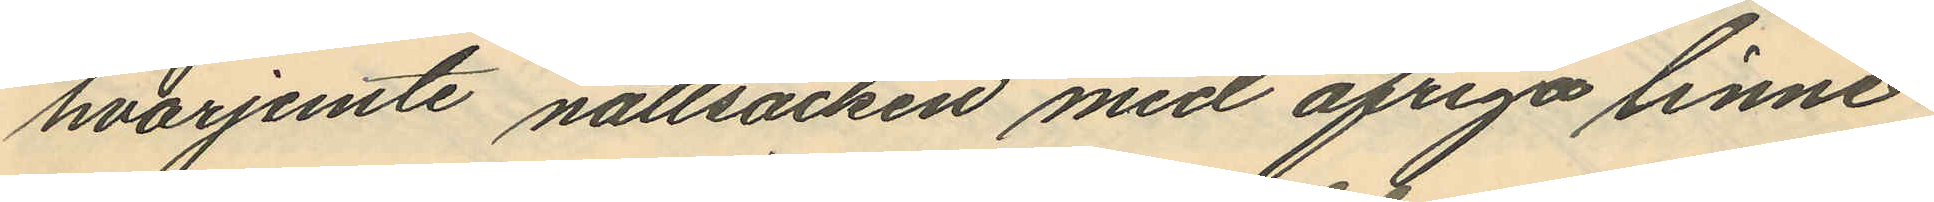hvarjemte nattsäcken med öfriga linne¬
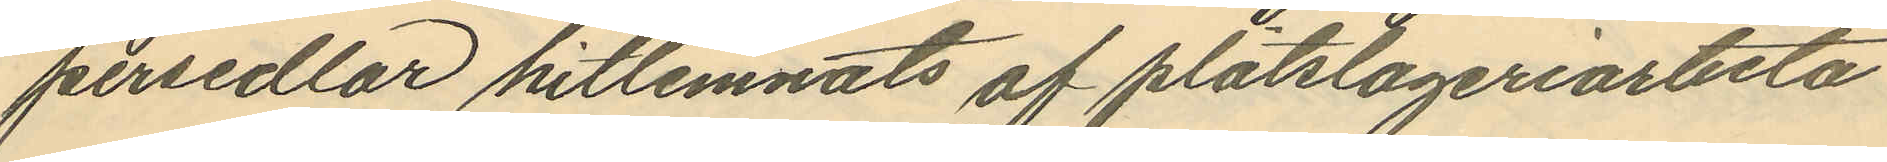persedlar hitlemnats af plåtslageriarbeta
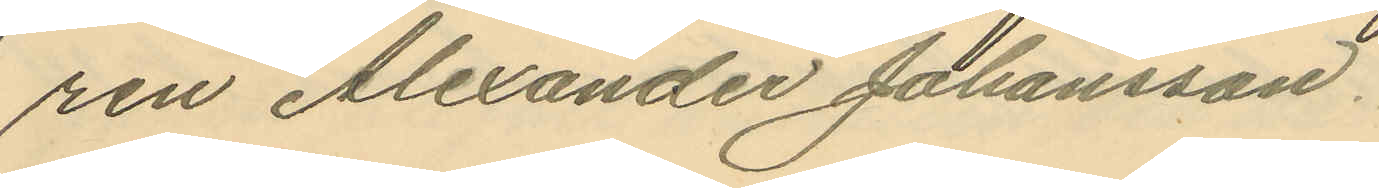ren Alexander Johansson.
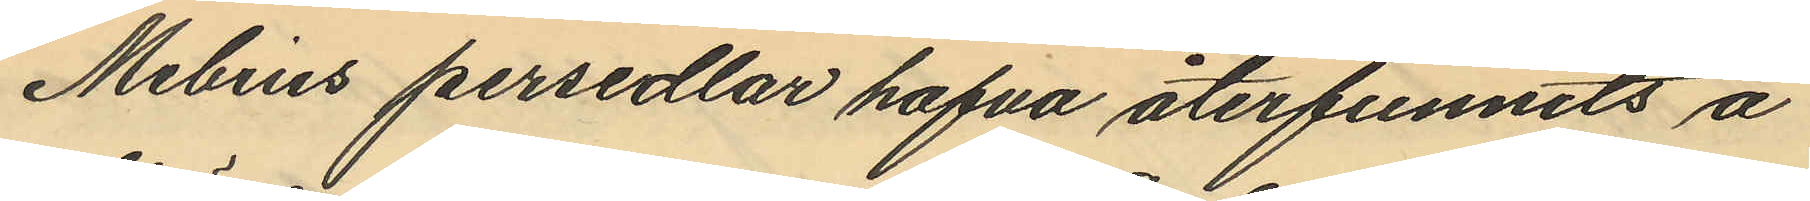Mebius persedlar hafva återfunnits å
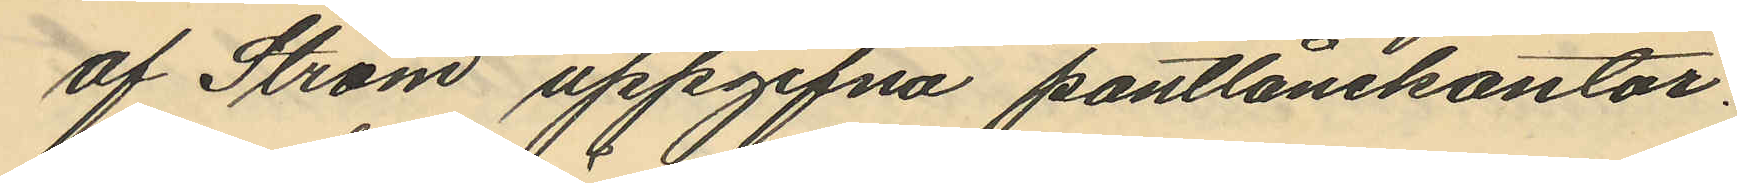af Ström uppgifna pantlånekontor.
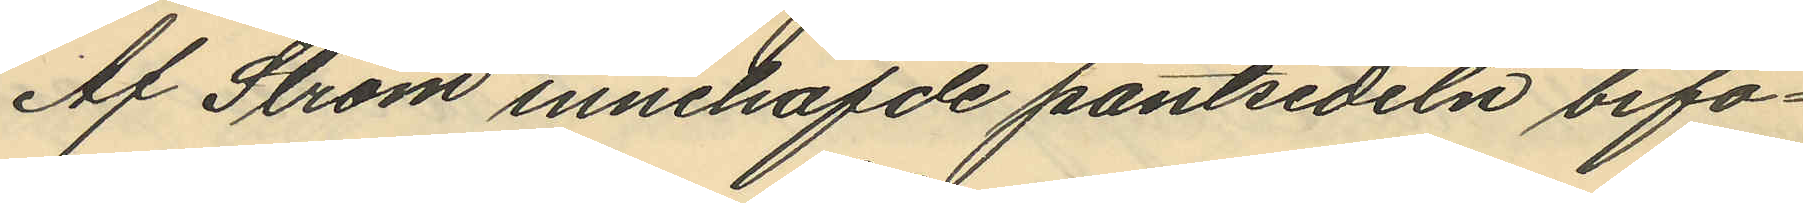Af Ström innehafde pantsedeln bifo¬
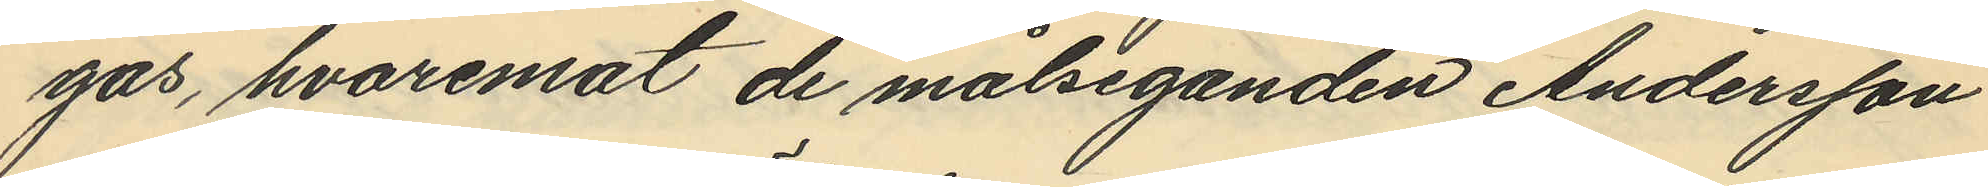gas, hvaremot de målseganden Andersson
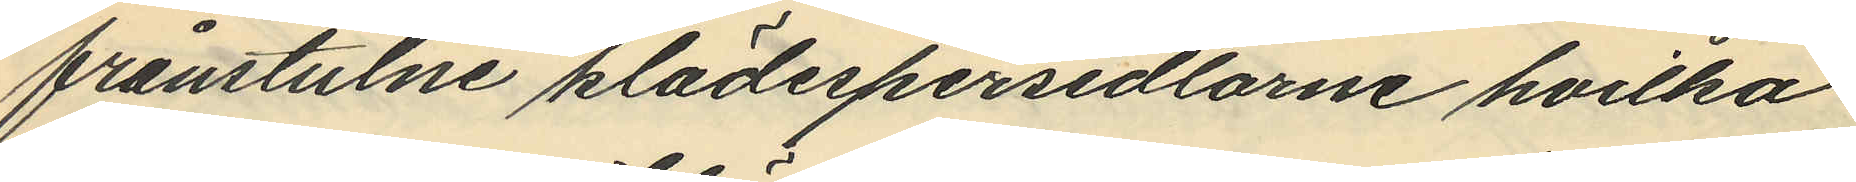frånstulne klädespersedlarne hvilka
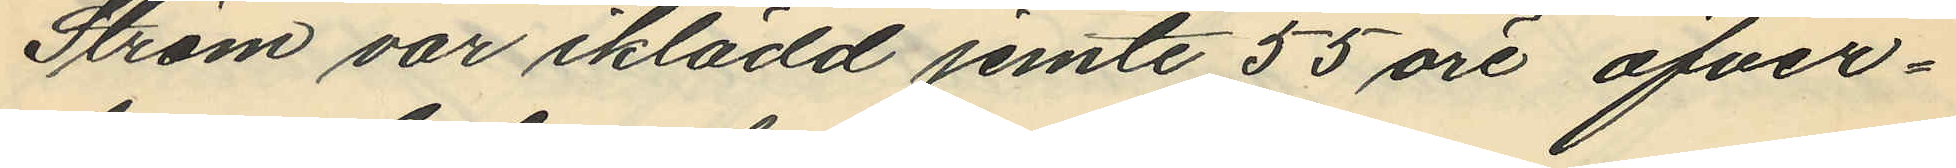Ström var iklädd jemte 55 öre öfver¬
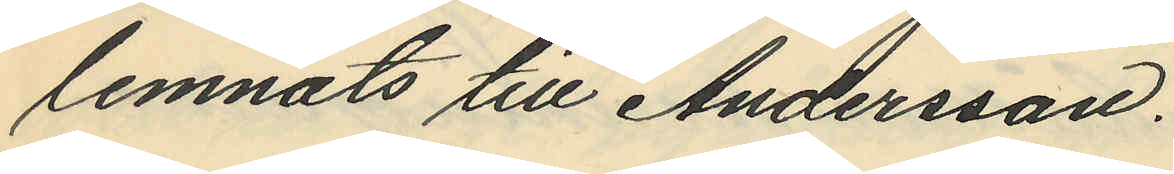lemnats till Andersson.
